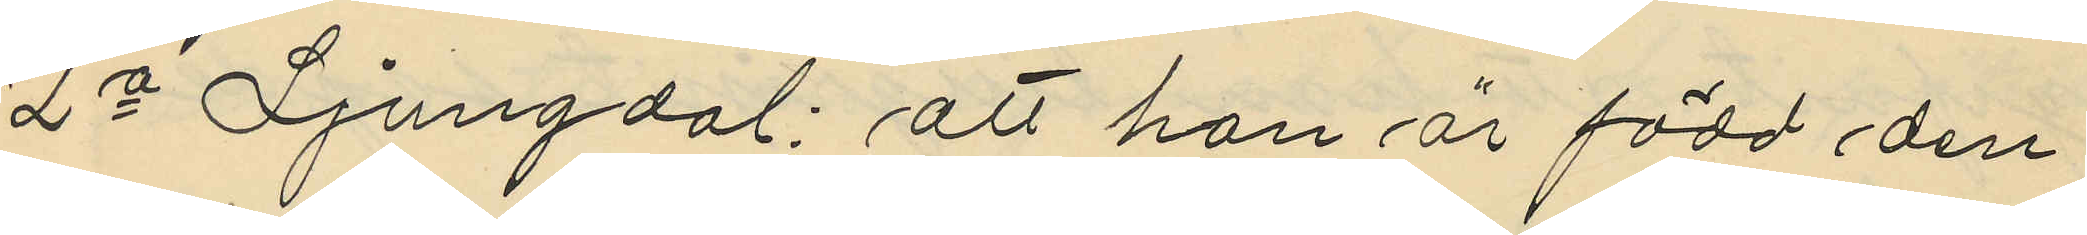2o Ljungdal: att han är född den
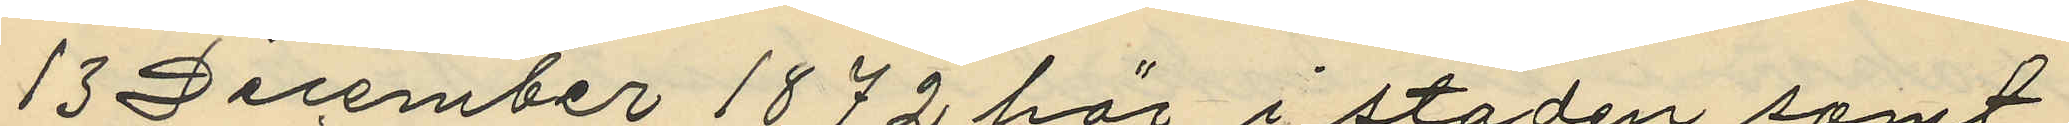13 December 1872 här i staden samt
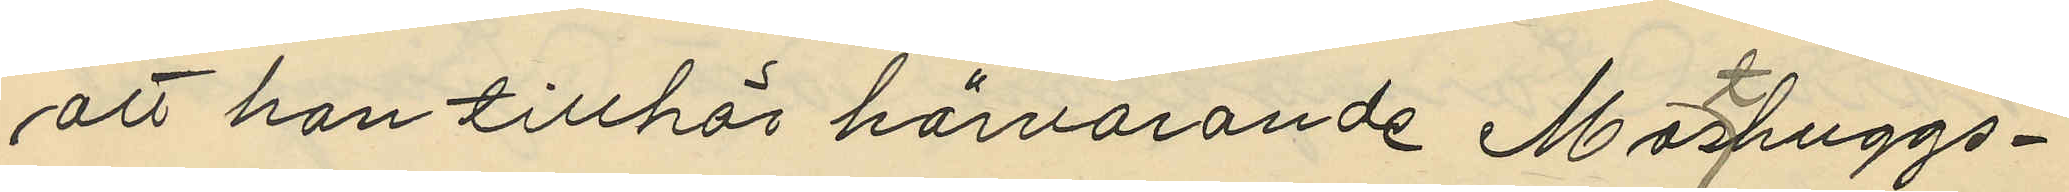att han tillhör härvarande Masthuggs¬
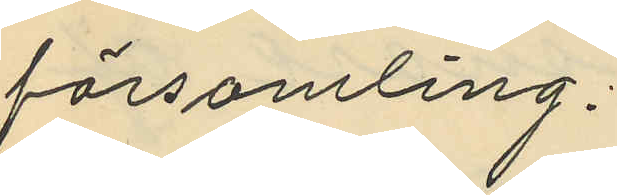församling.
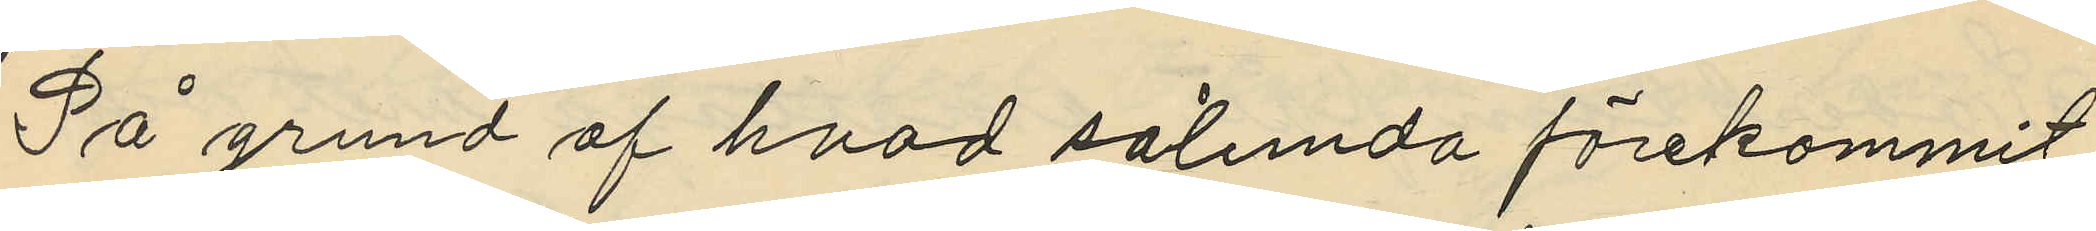På grund af hvad sålunda förekommit
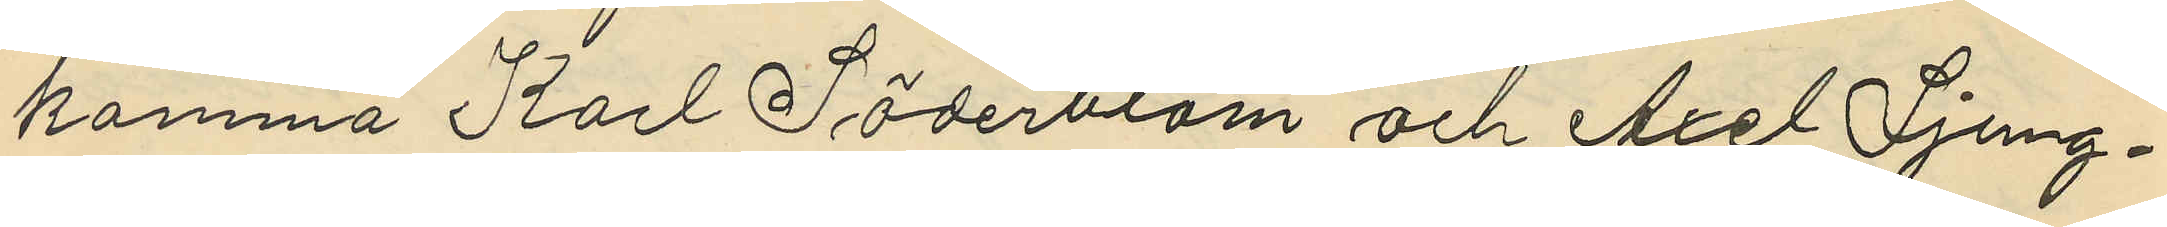komma Karl Söderblom och Axel Ljung¬
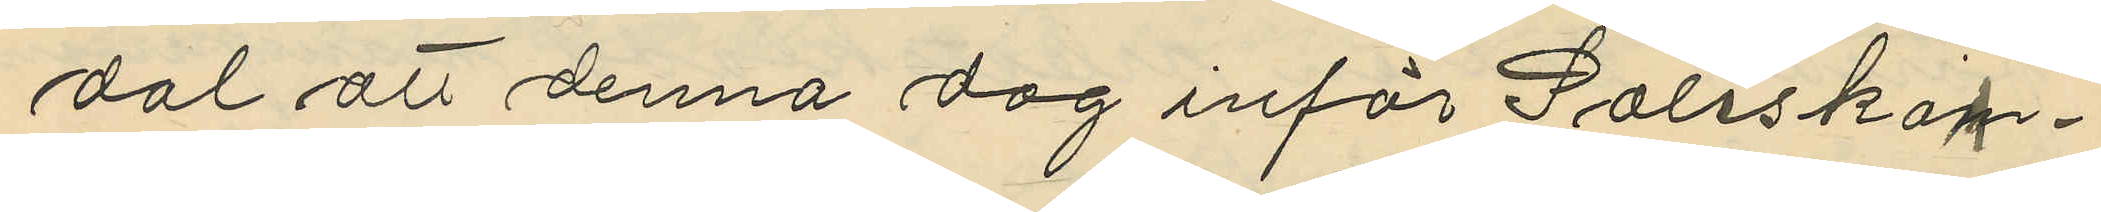dal att denna dag inför Poliskam¬
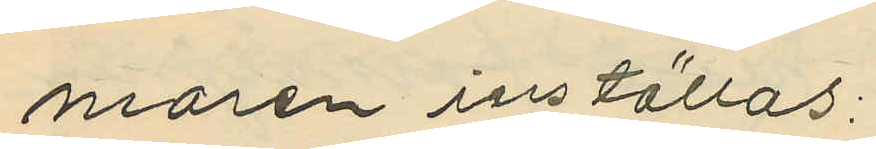maren inställas:
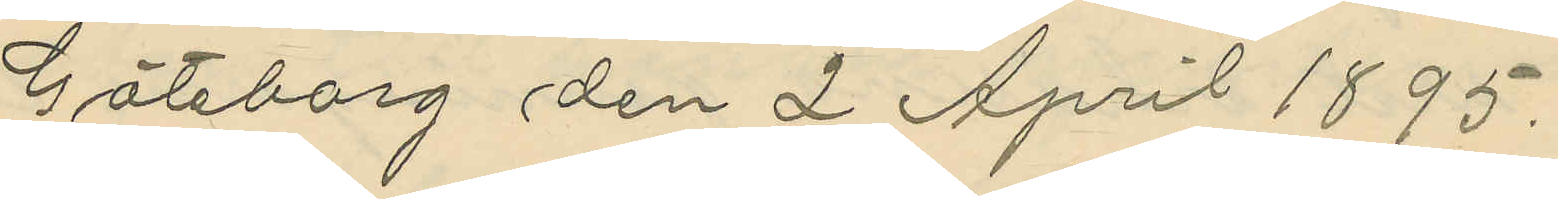Göteborg den 2 April 1895.
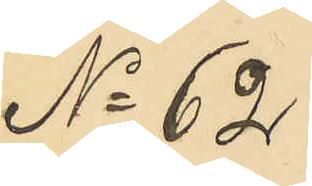No 62
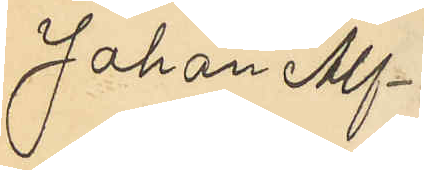Johan Alf¬
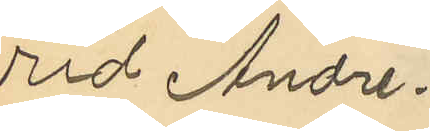rid Andre¬
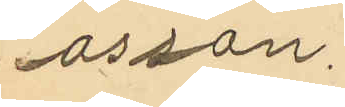asson.
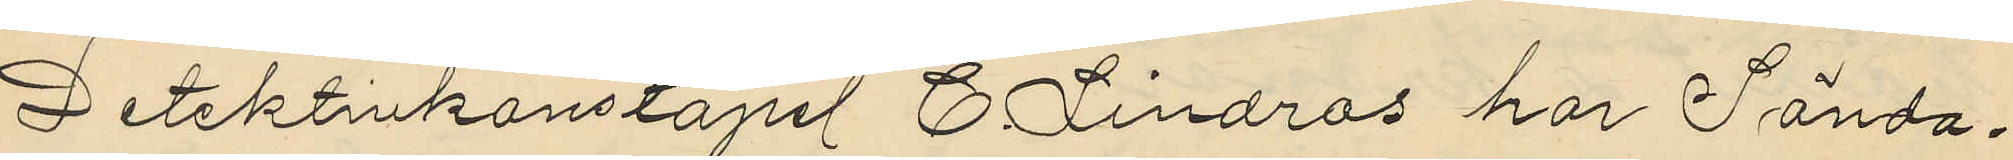Detektivkonstapel C. Lindros har Sönda¬
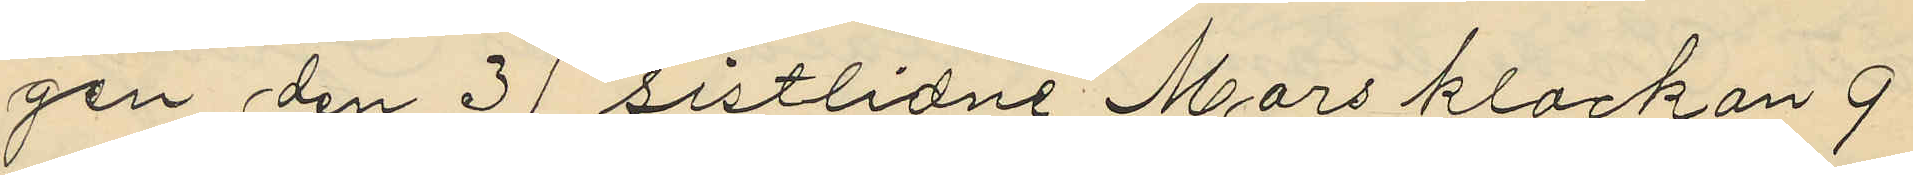gen den 31 sistlidne Mars klockan 9
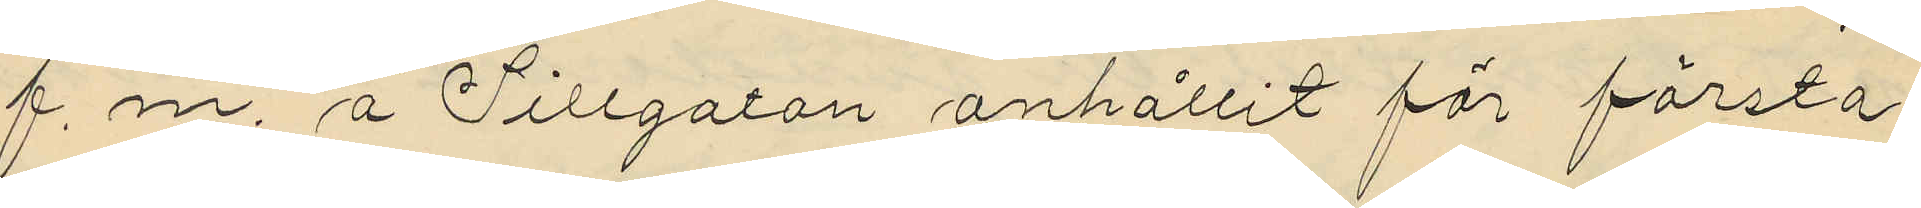f. m. å Sillgatan anhållit för första
